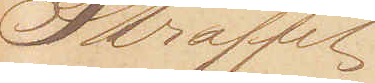Straffet:
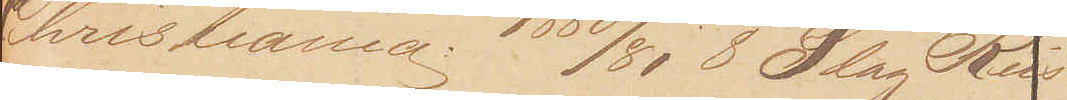Christiania: 1880/81 8 Slag Riis
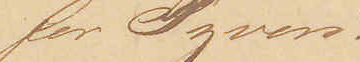for Tyveri
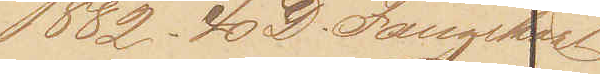1882. 40 D. Fangeskab
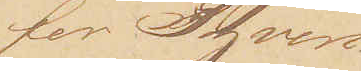for Tyveri
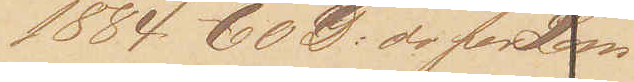1884 60 D: do for Lom¬
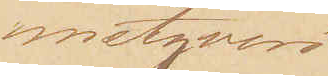metyveri
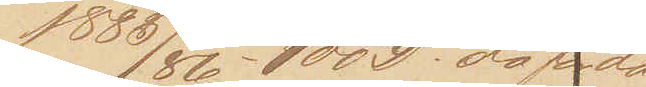1885/86 - 100 D. do for do.
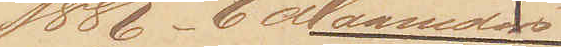1886 - 6 Maanders
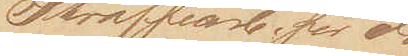Straffearbejde for do
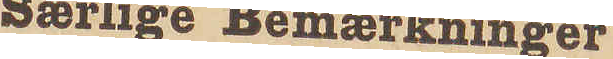Særlige Bemærkninger
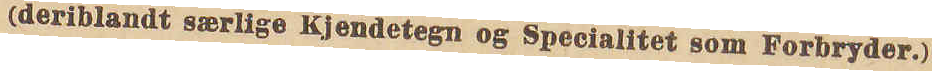(deriblandt særlige Kjendetegn og Specialitet som Forbryder.)
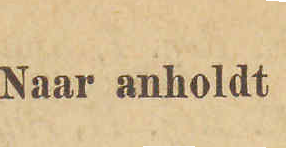Naar anholdt
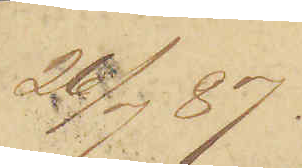26/7 87.
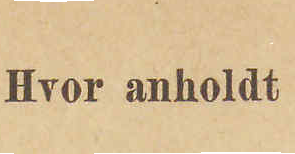Hvor anholdt
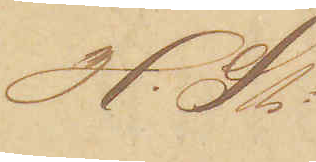H. St:
